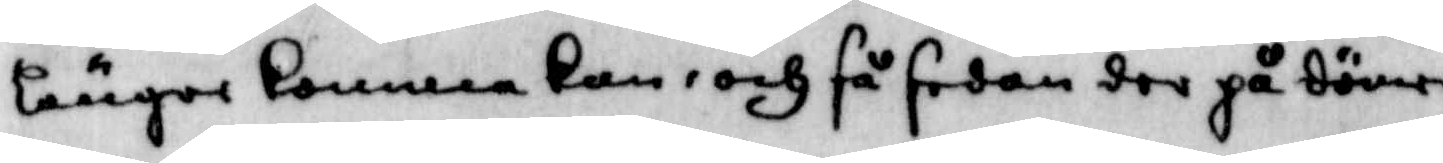längre komma kan, och så sedan der på dömer
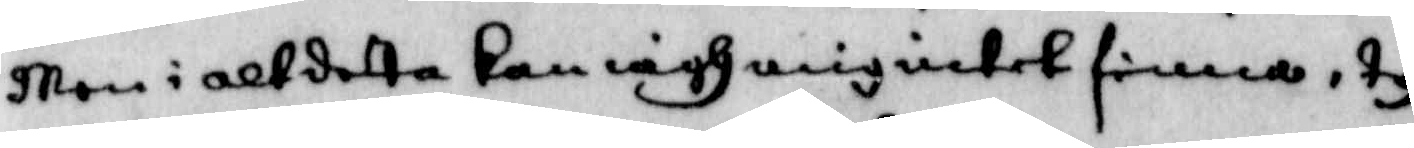Man i alt detta kan iagh mig intet finna, ty
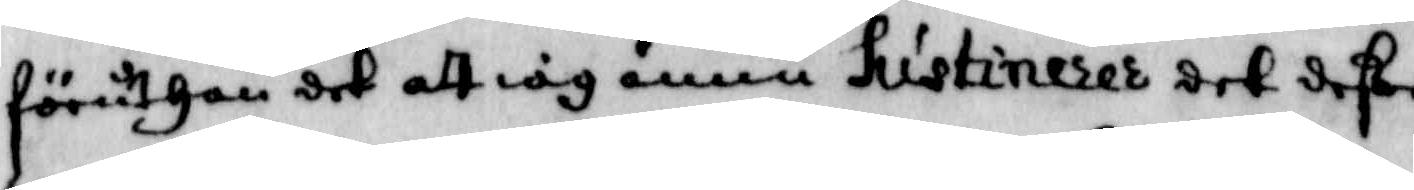föruthan det att iag ännu hustineres det deße
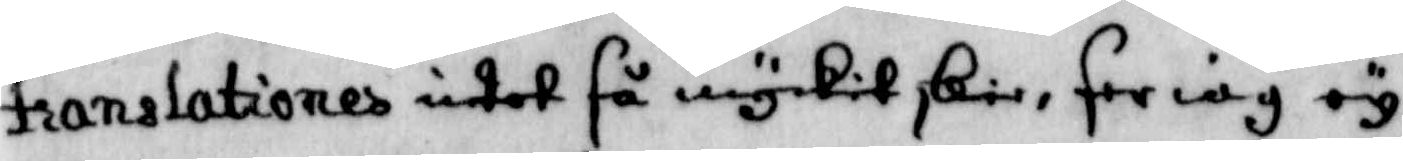translationer intet så mycket skie, ser iag ey
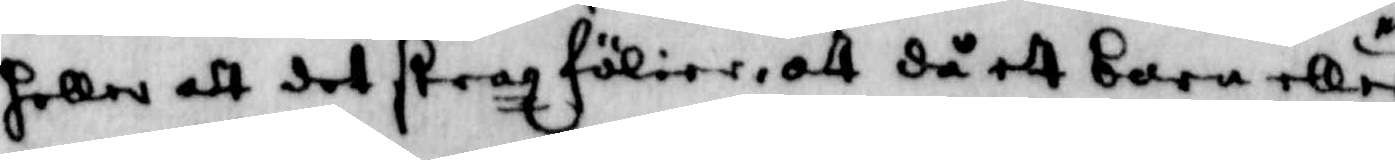heller att det strax fölier, att då ett barn eller en
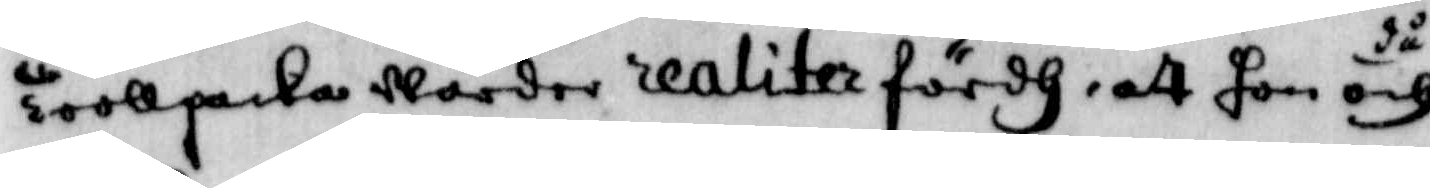Trollpacka Warder realiter fördh, att hon då och
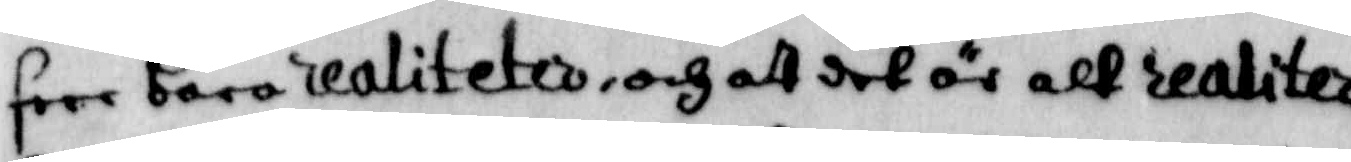seer bara realiteter, och att det är alt realiter
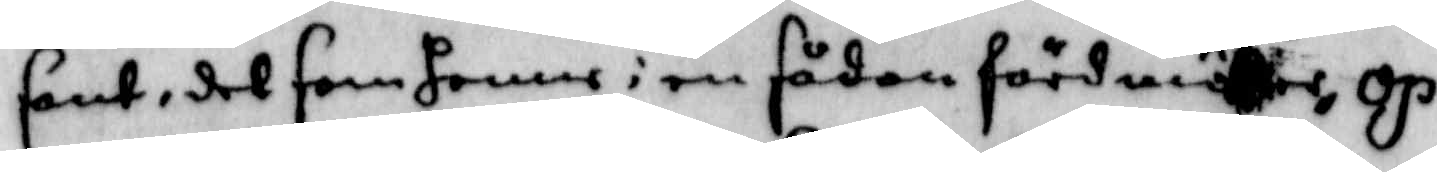sant, det som henne i en sådan förd möter, op¬
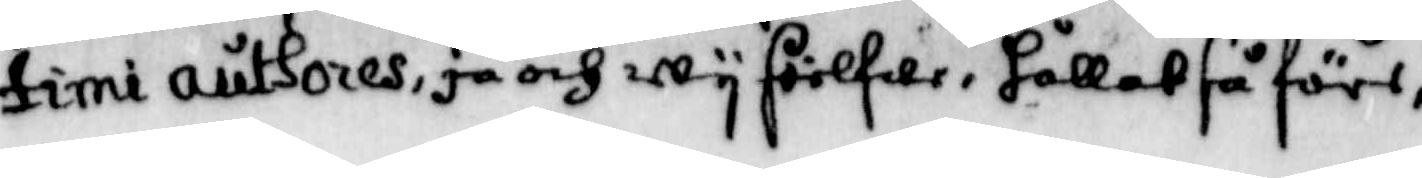timi authores, ja och wy sielfwe, hållet så före,
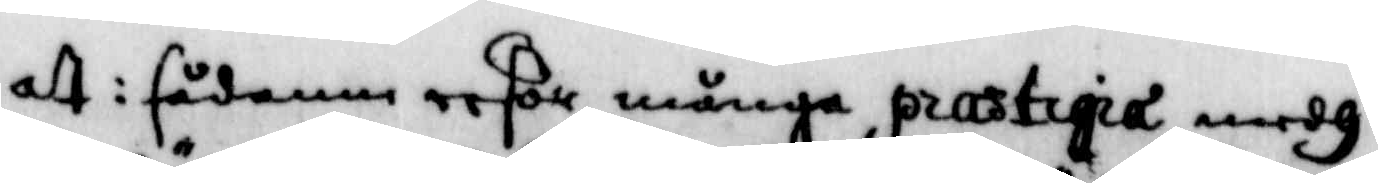att i sådanne resor många practiqia medh
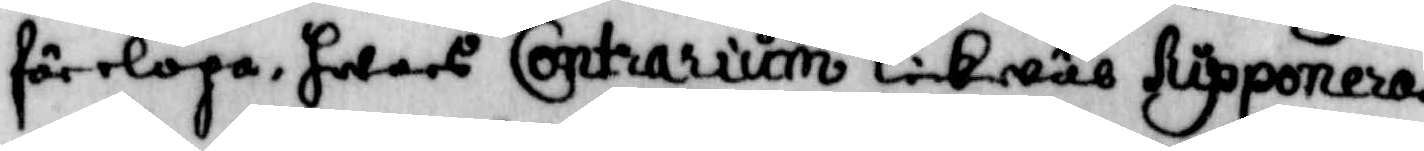förelöpa, hwars Contrarium likwäl hypponeras
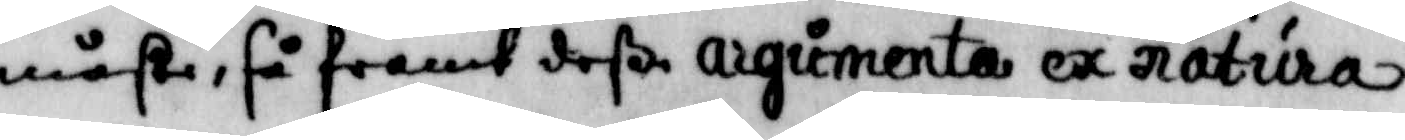måste, så framt deße argumenta ex natura
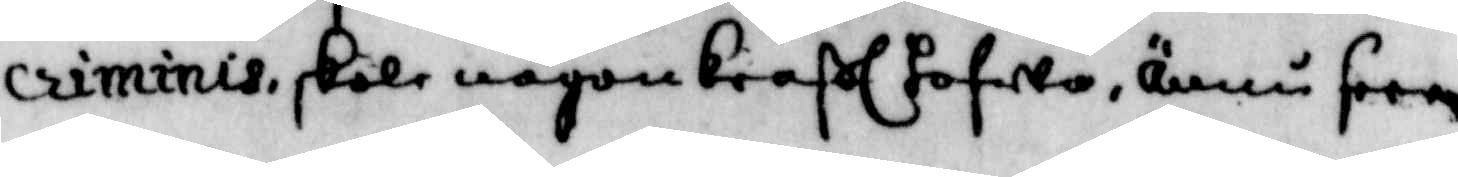criminis, skole någon kraftl hafwa, ännu seer
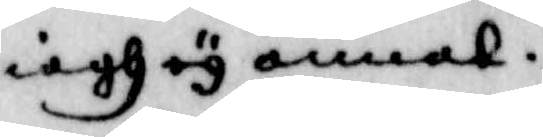iagh ey annat.
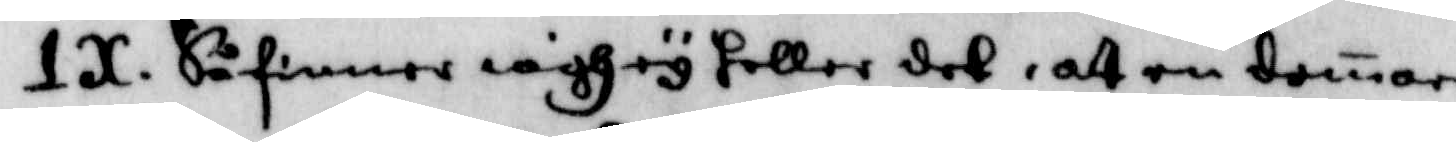IX. Så finner iagh ey heller det, att en domare
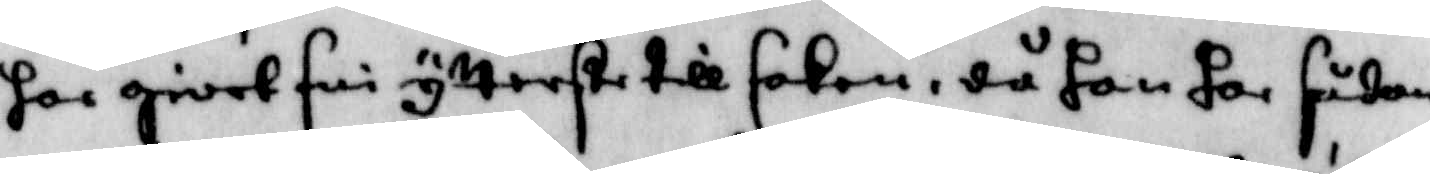har giort sin ytterste till saken, då han har sådan¬
